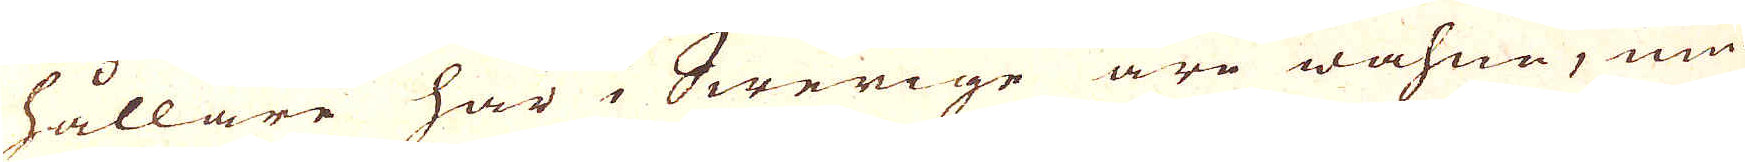hållare här i Swerige äro wahna, niu-
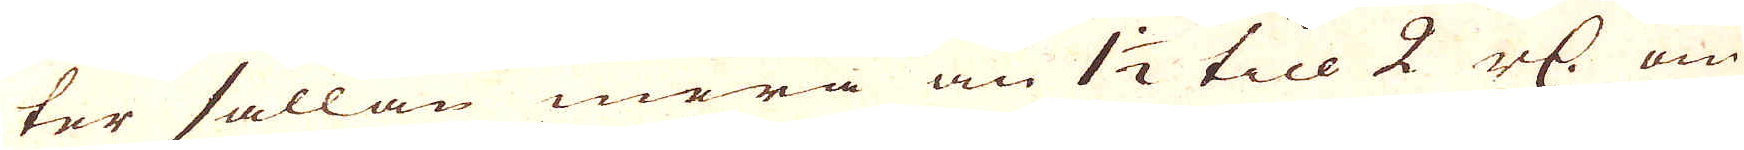ter sällan mera än 1 1/2 till 2 r:dr om
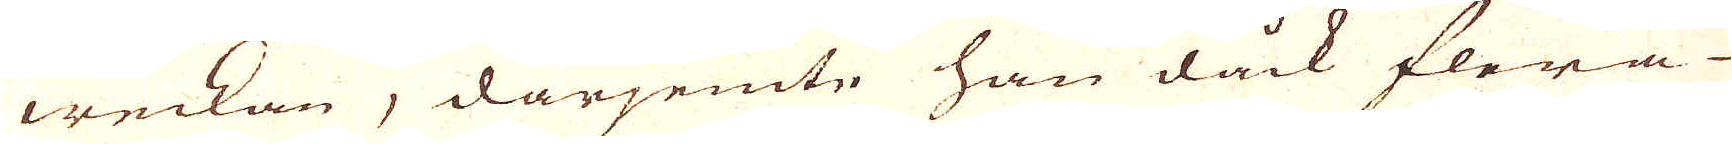weckan, därjemte han dåck flera
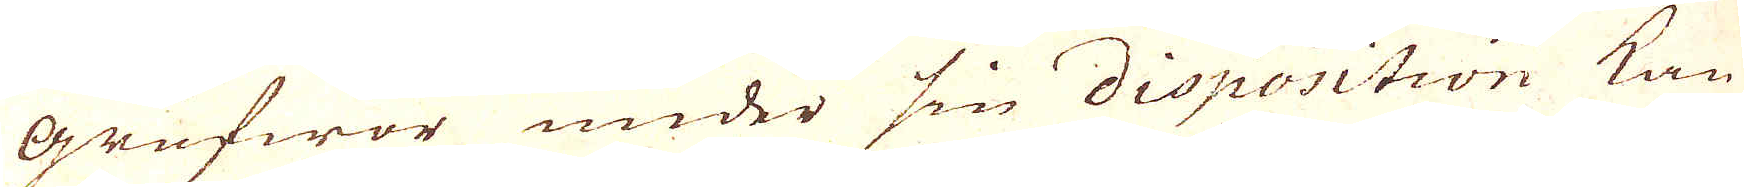Grufwor under sin disposition kan
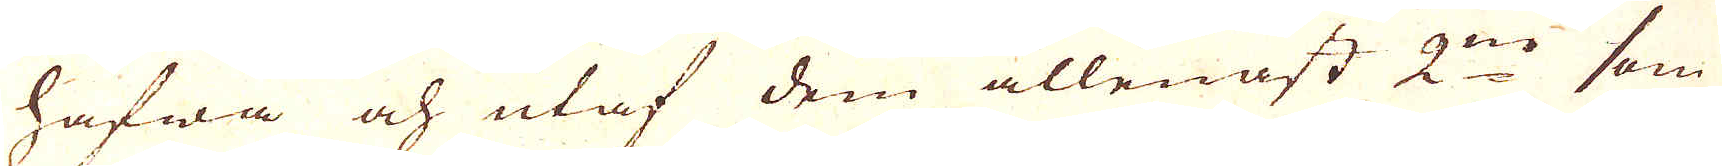hafwa och utaf dem allenast 2:ne som
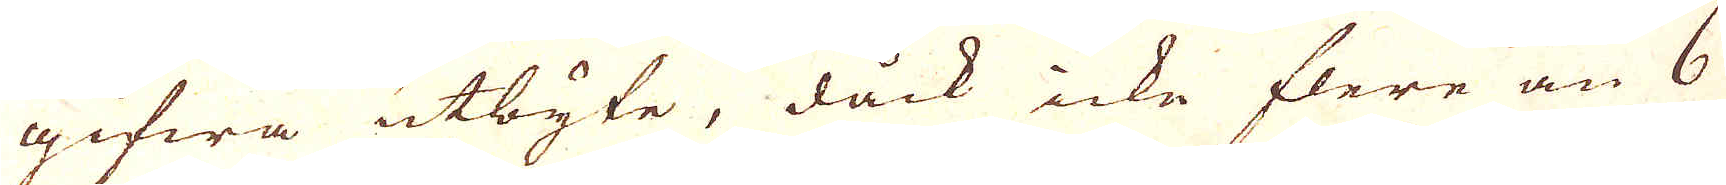gifwa utbyte, dåck icke flere än 6
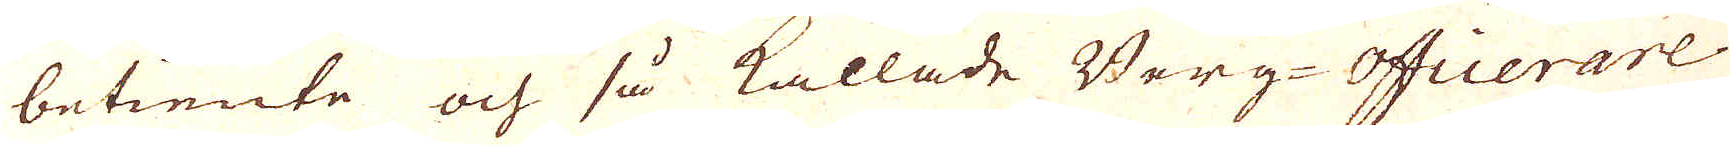betiente och så kallade Berg-Officerare.
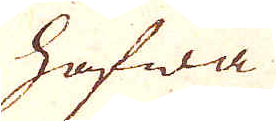Hafwa
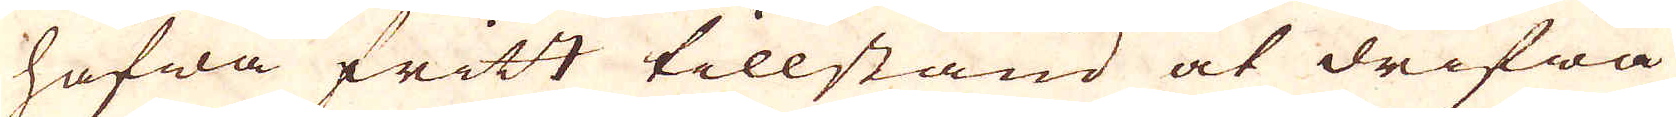Hafwa fritt tillstånd at drifwa
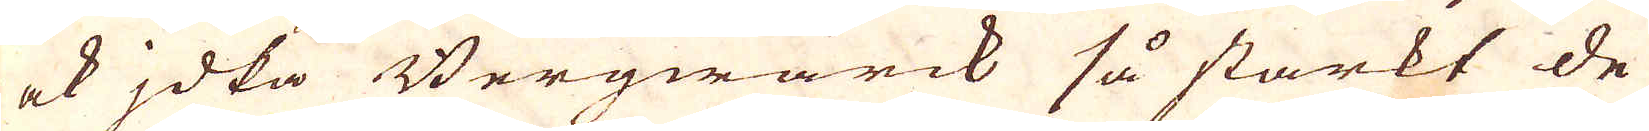ock idka Bergwärck så starkt de
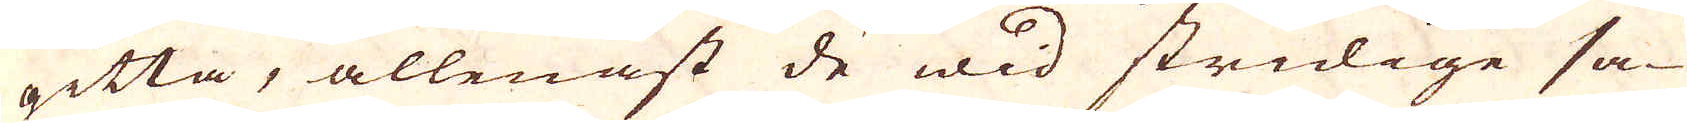gitta, allenast de wid stridige sa-
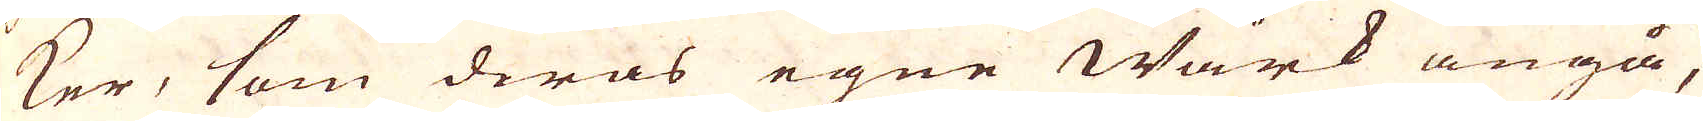ker, som deras egne Wärk angå,
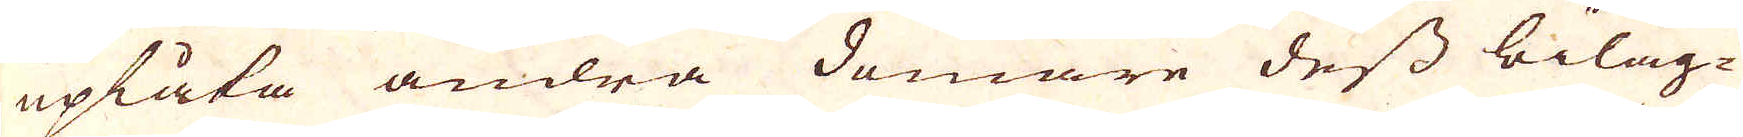uplåta andra domare dess biläg-
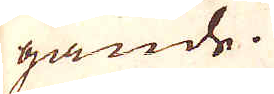gande.
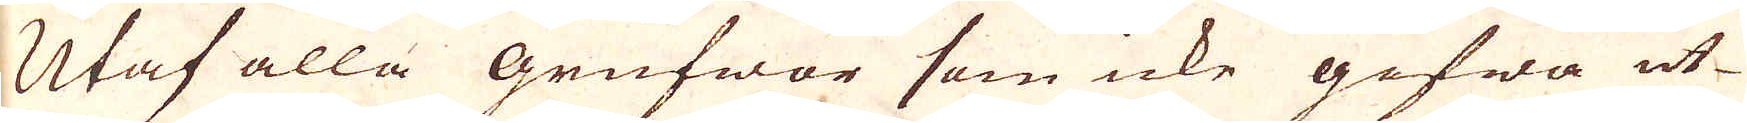Utaf alla grufwor som icke gifwa ut-
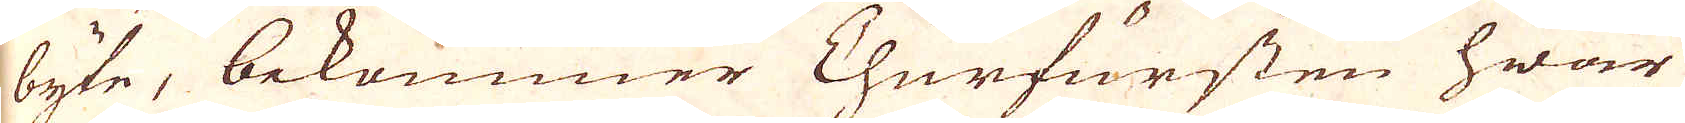byte, bekommer Churfursten hwar
